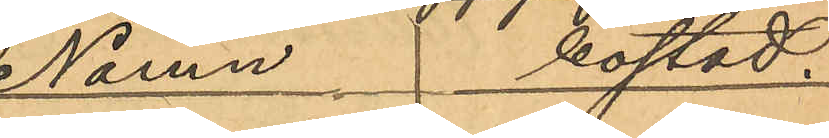Namn bostad.
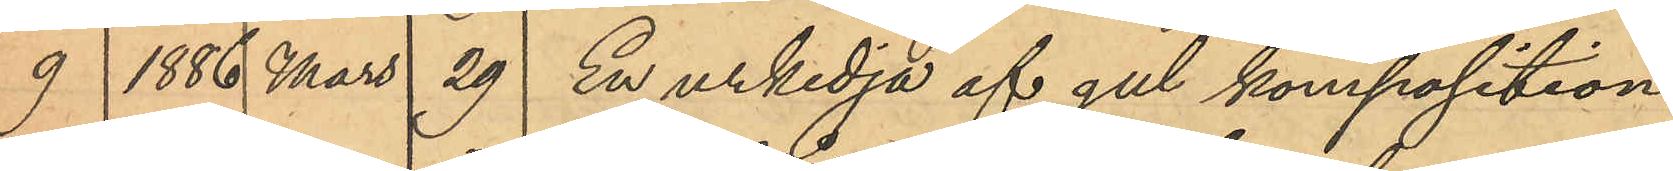9 1886 Mars 29 En urkedja af gul komposition
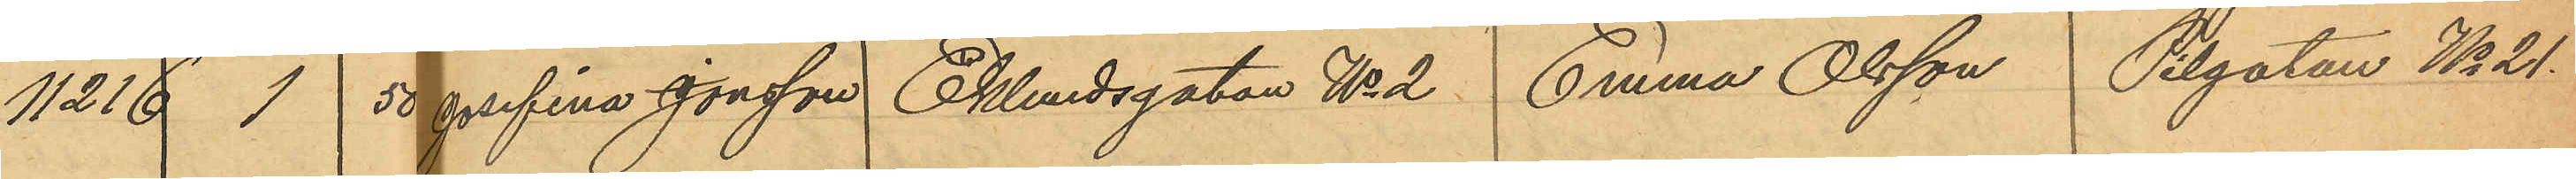11216 1 50 Josefina Jonsson Eklundsgatan No 2 Emna Olsson Pilgatan No 21.
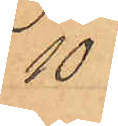10
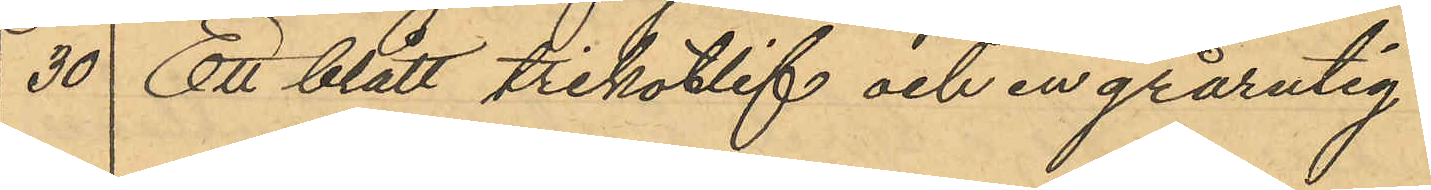30 Ett blått trikotlif och en grårutig¬
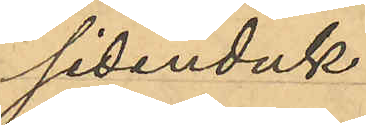sidenduk
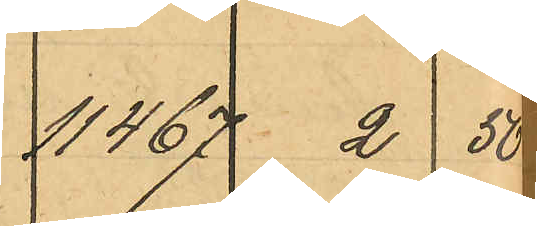11467 2  50
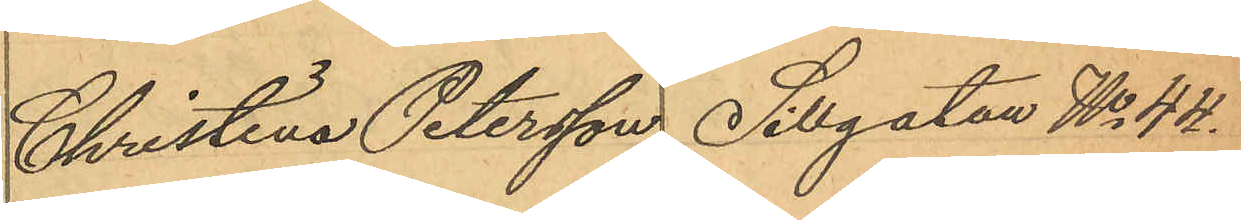Christina Petersson Sillgatan No 44.
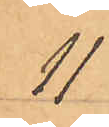11
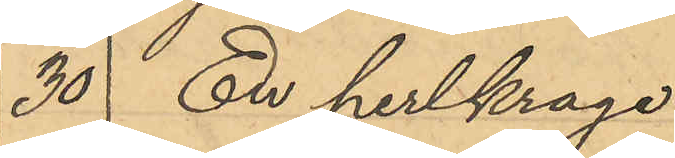30 En perlkrage
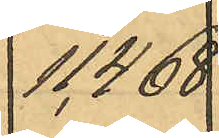11468
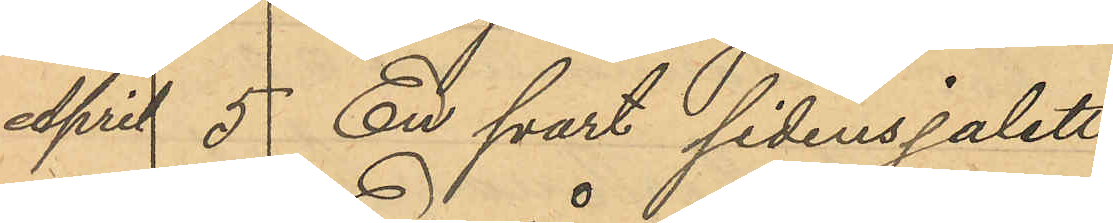April 5 En svart sidensjalett
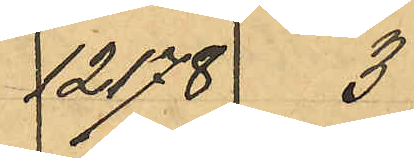12178  3
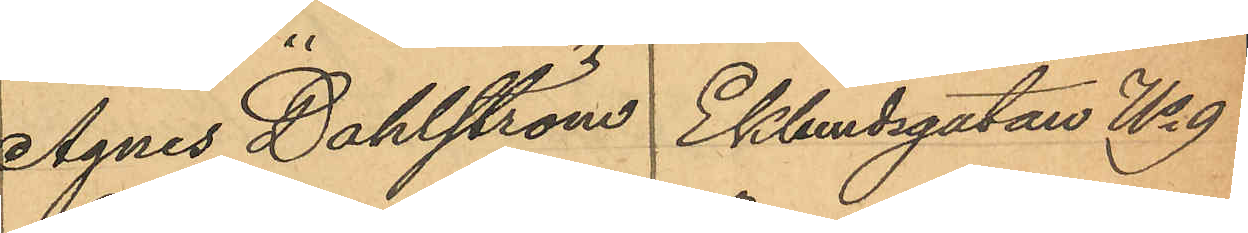Agnes Dahlström  Eklundsgatan No 9
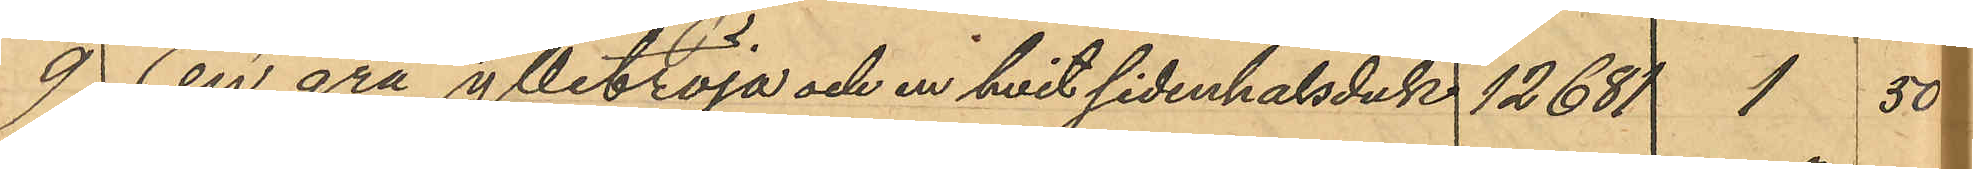9 En grå ylletröja och en hvit sidenhalsduk 12681 1  50
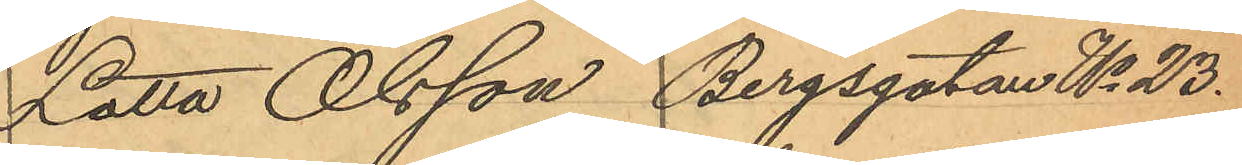Lotta Olsson Bergsgatan No 23.
